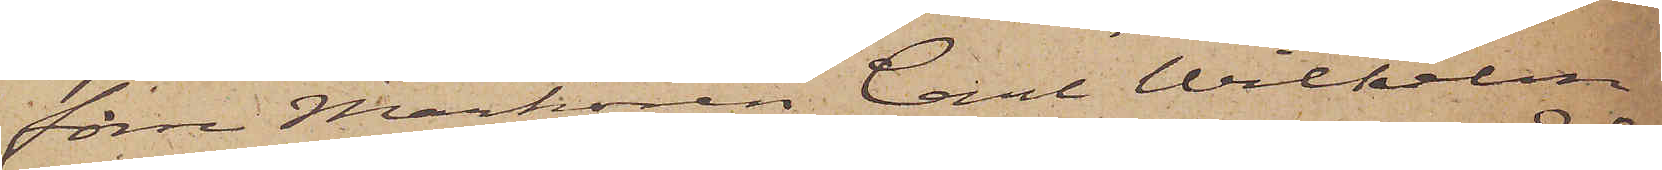förre Markören Carl Wilhelm
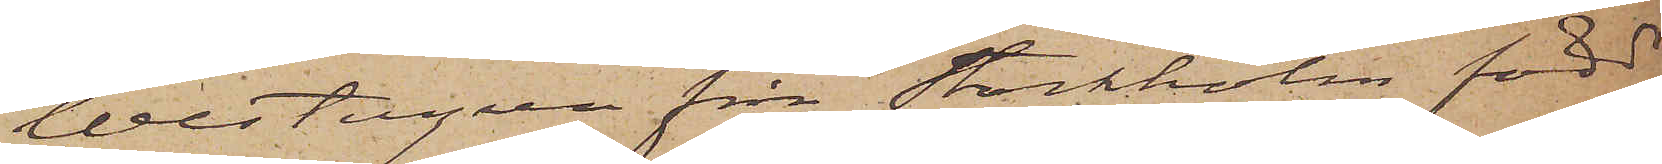Westergren från Stockholm född
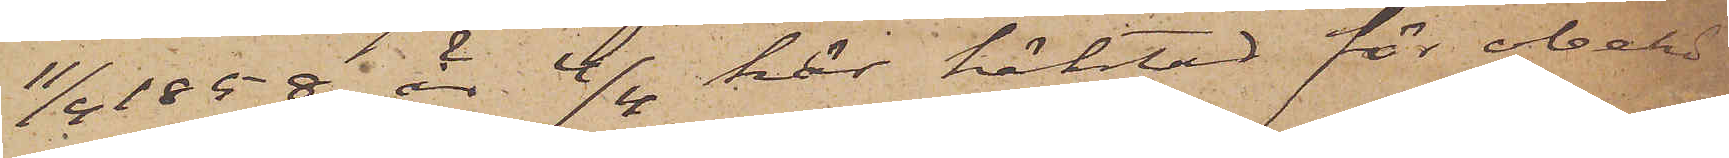11/4 1858 är 4/4 här häktad för obehö¬
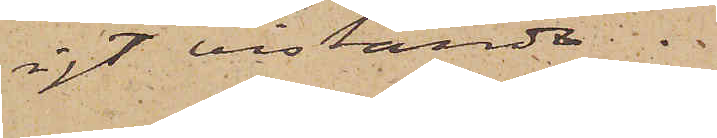rigt vistande.
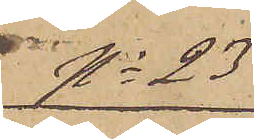No 23
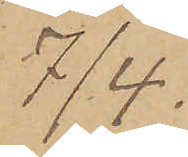7/4.
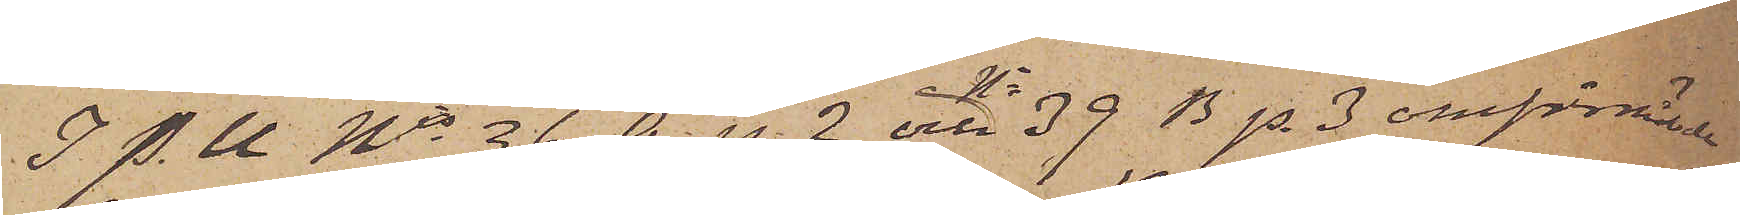I P.U Nis 36 A. p. 2 och No 39 B p. 3 omförmälde
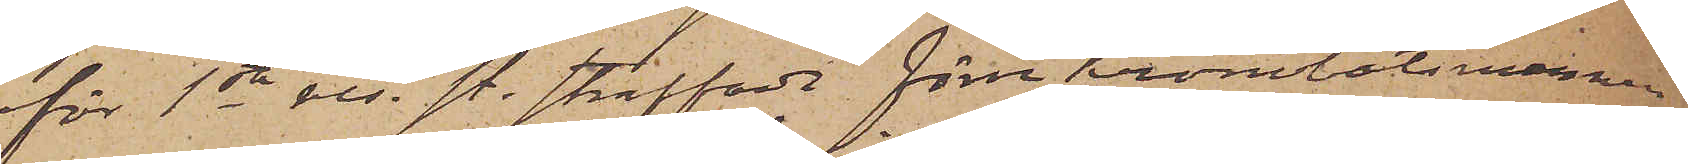för 1sta res. st. straffade förre Kronobåtsmannen
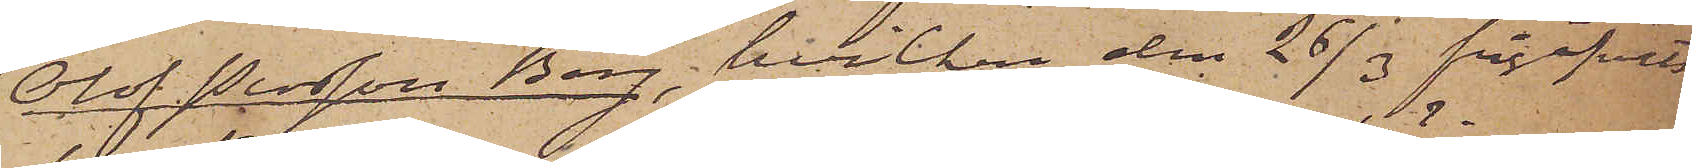Olof Persson Berg, hvilken den 26/3 frigifvits
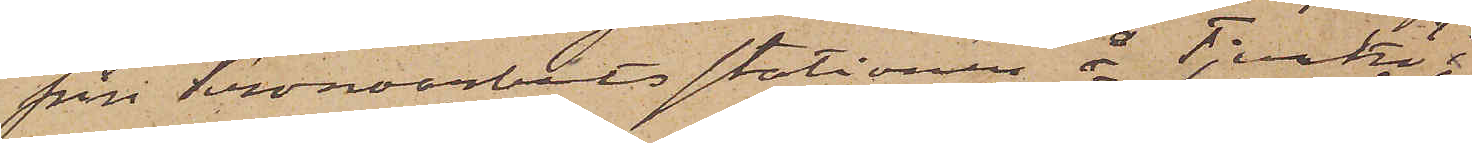från Kronoarbetsstationen å Tjurkö,
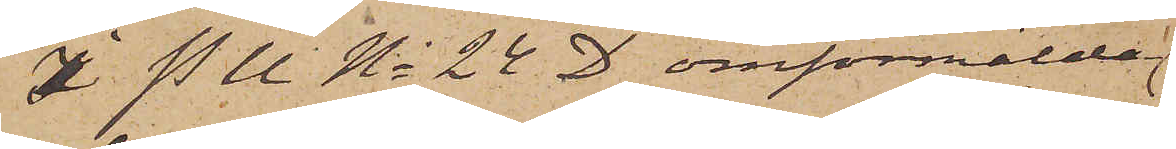I P U No 24 D omförmälda
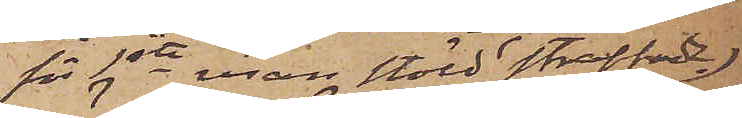för 1sta resan stöld straffade
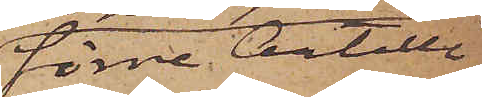förre Artille¬
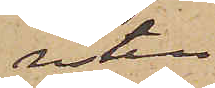risten
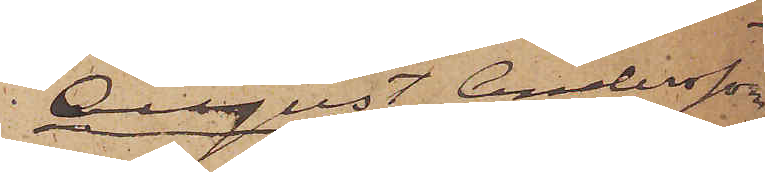August Andersson
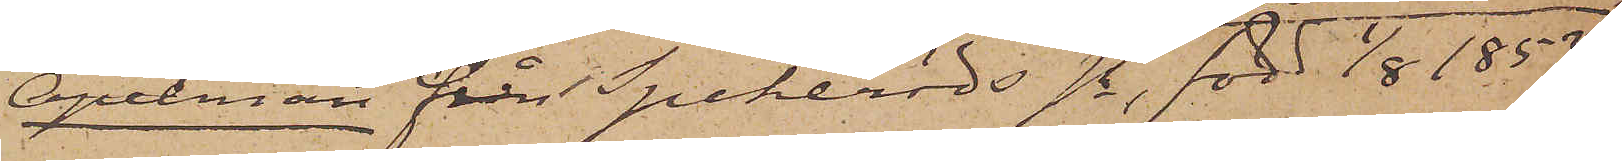Apelman från Spekeröds sn, född 1/8 1853;
